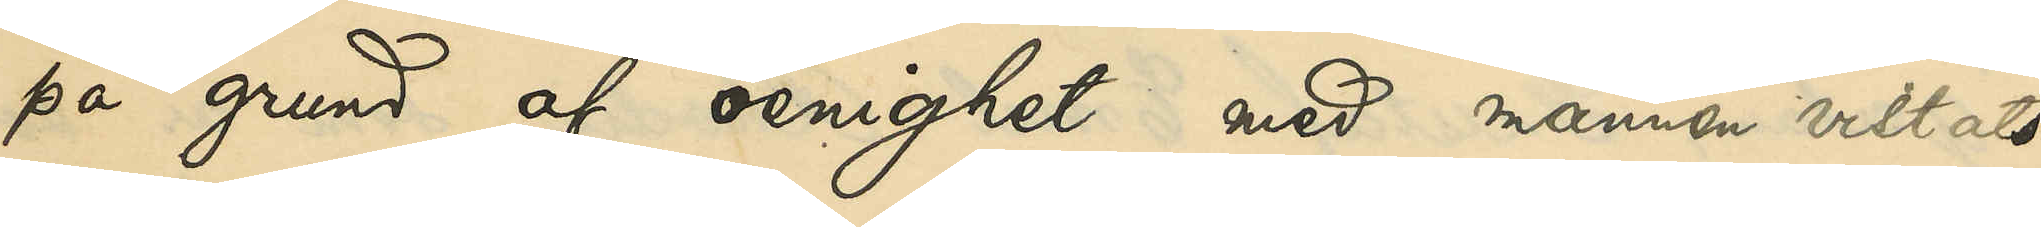på grund af oenighet med mannen vistats
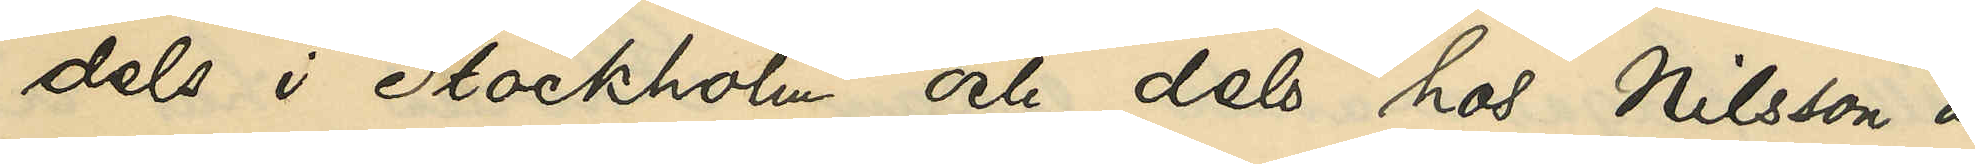dels i Stockholm och dels hos Nilsson å
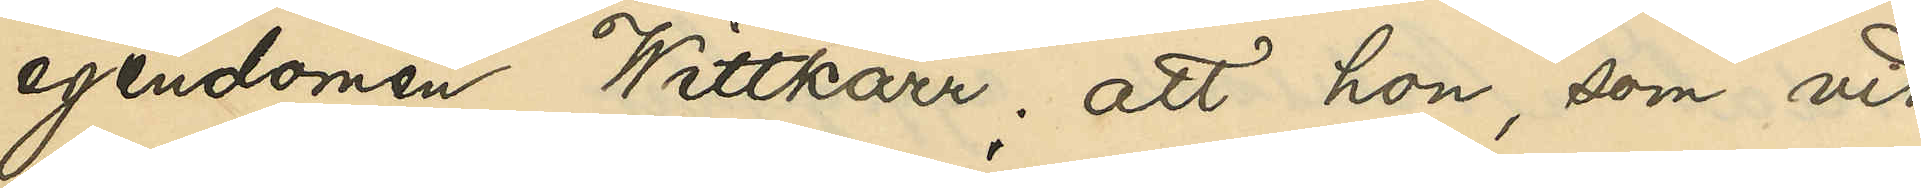egendomen Wittkärr; att hon, som vid
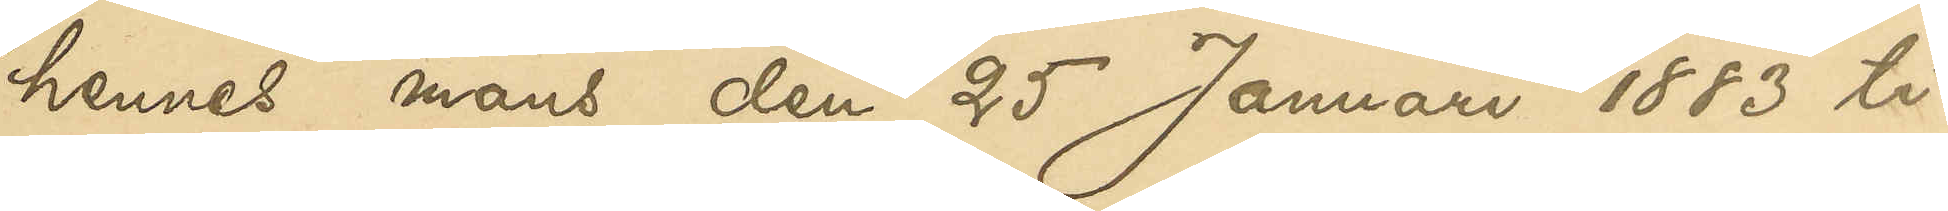hennes mans den 25 Januari 1883 ti¬
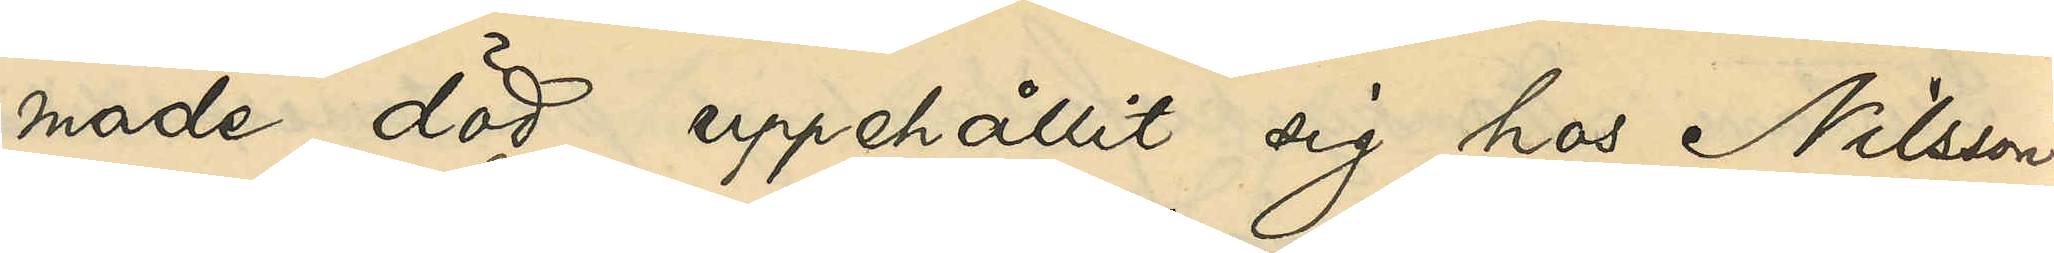made död uppehållit sig hos Nilsson,
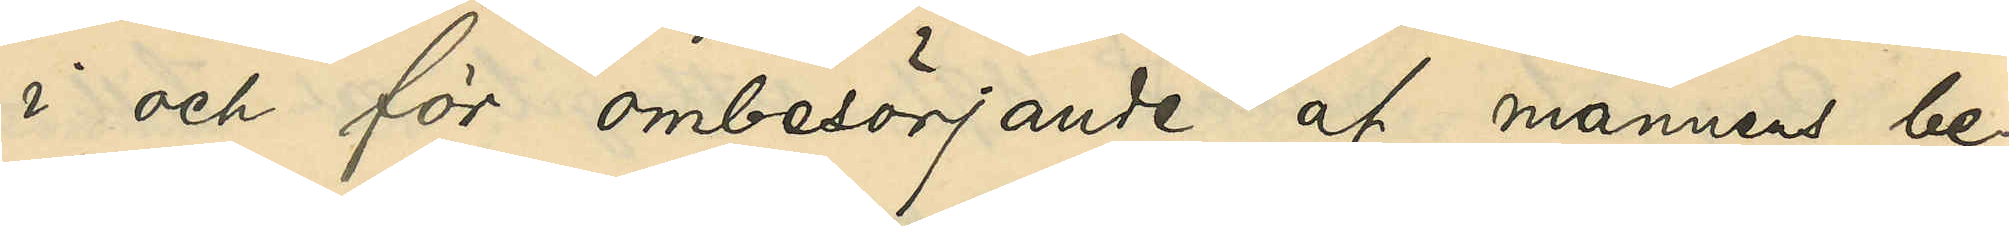i och för ombesörjande af mannens be¬
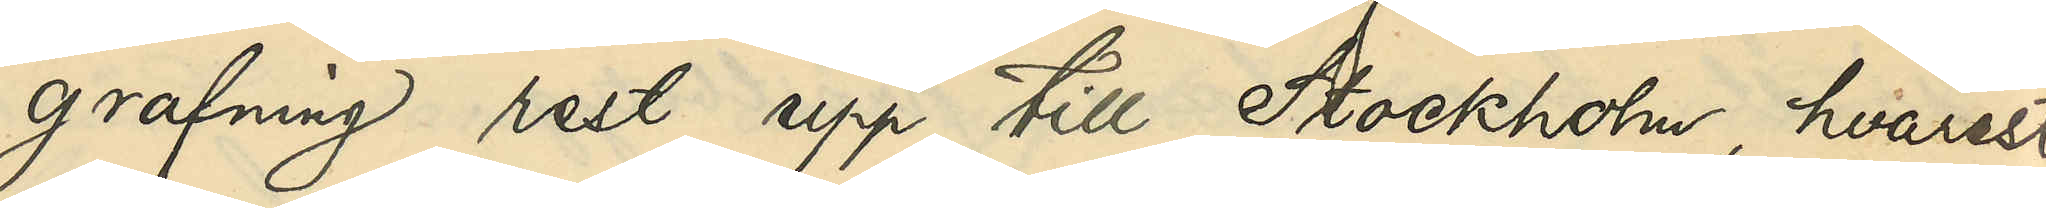grafning rest upp till Stockholm, hvarest
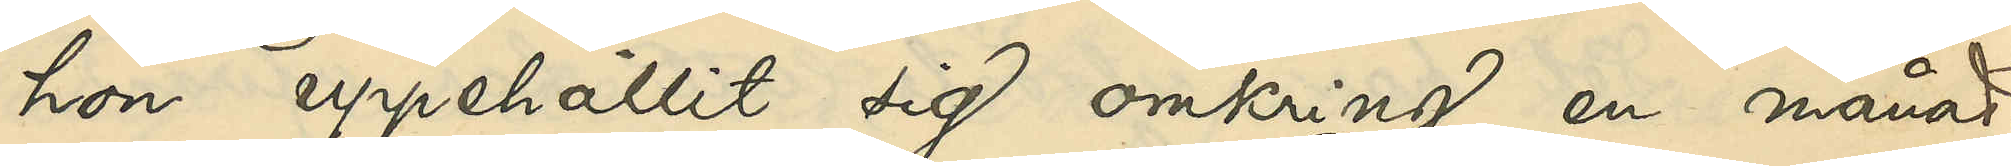hon uppehållit sig omkring en månad;
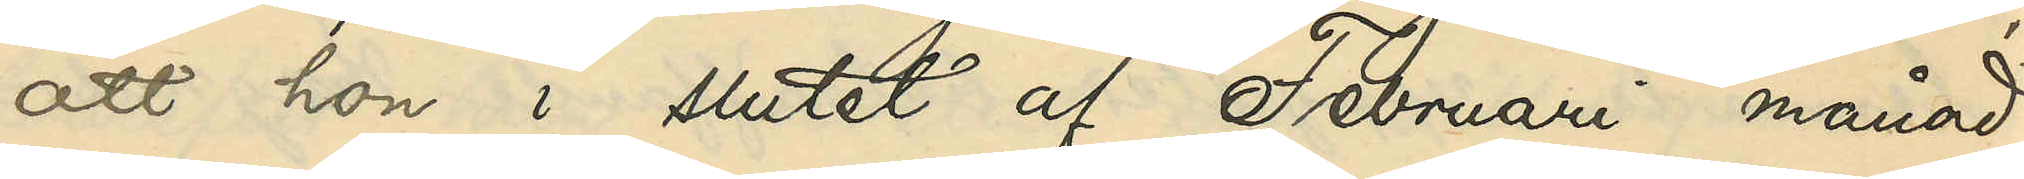att hon i slutet af Februari månad
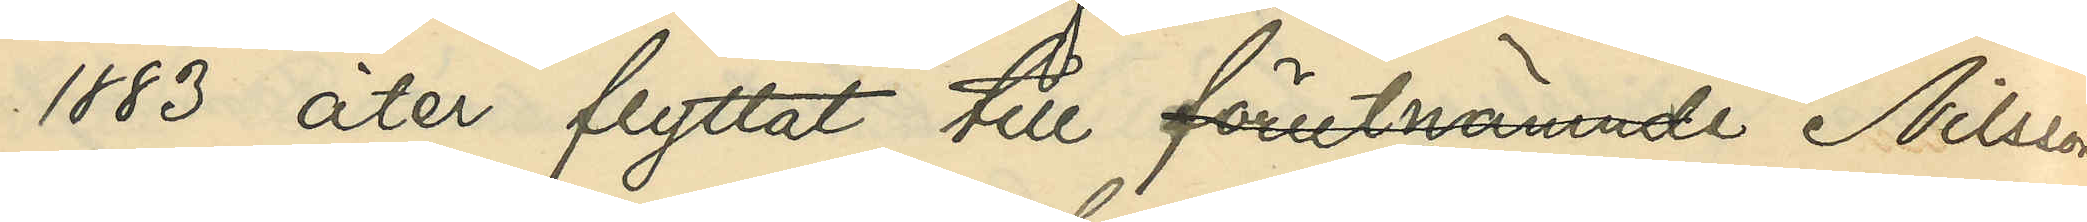1883 åter flyttat till förutnämnde Nilsson
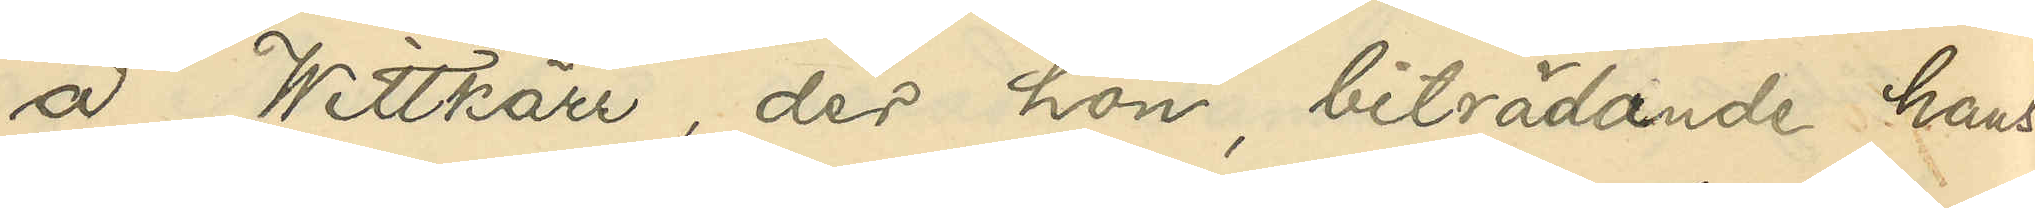a Wittkärr, der hon, biträdande hans
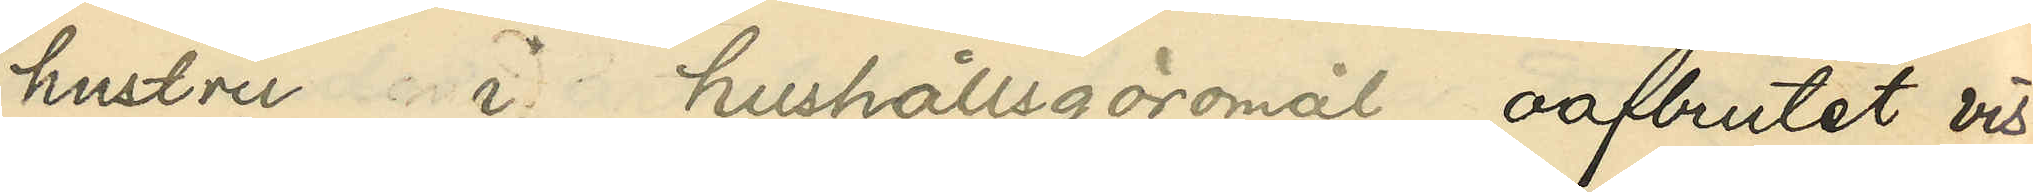hustru i hushållsgöromål, oafbrutet vis¬
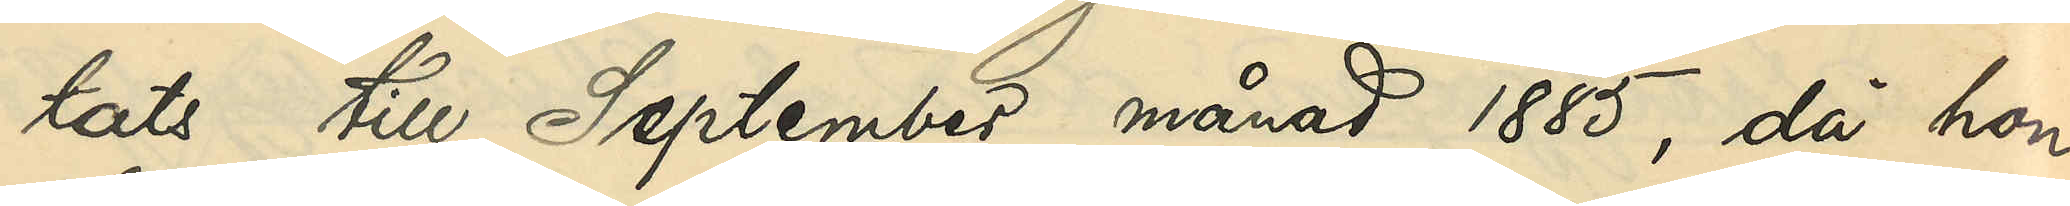tats till September månad 1885, då hon
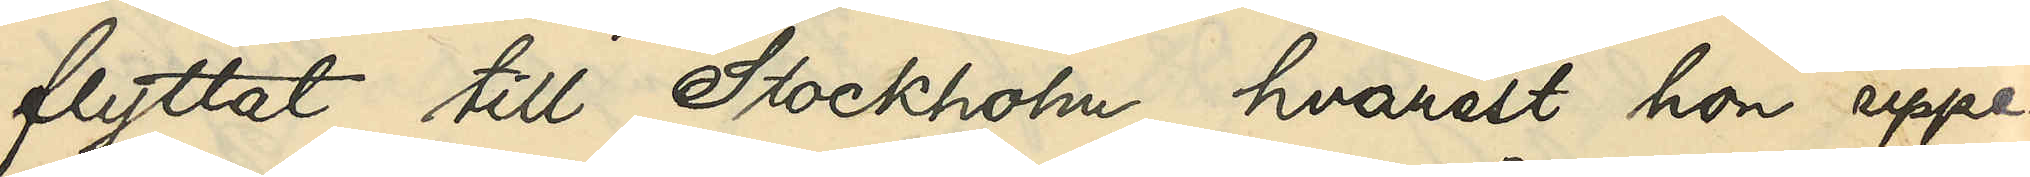flyttat till Stockholm, hvarest hon uppe¬
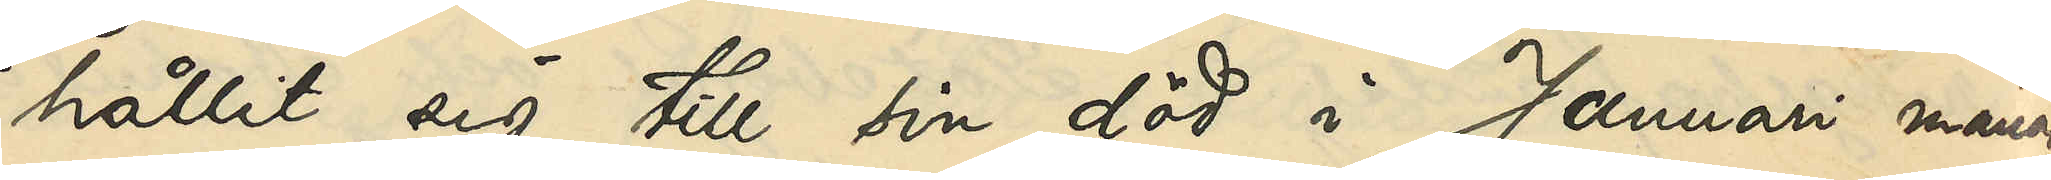hållit sig till sin död i Januari månad
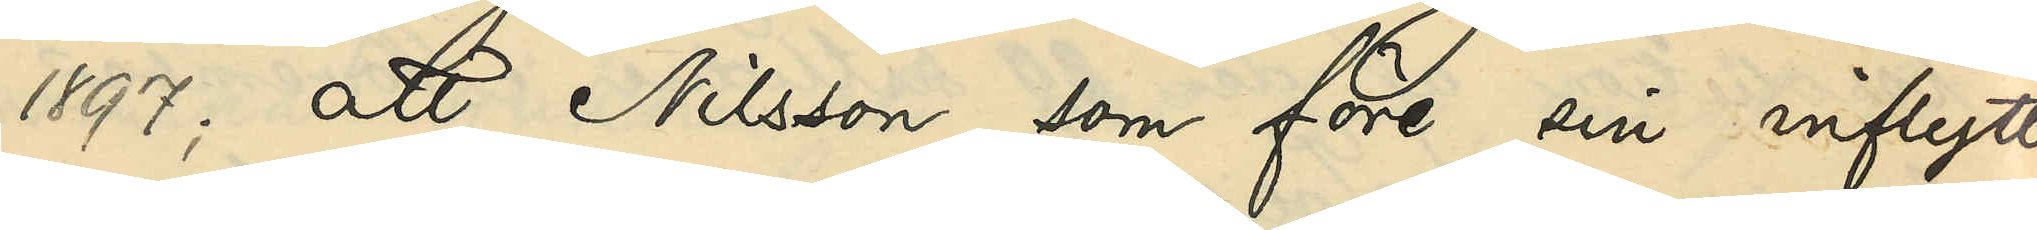1897; att Nilsson, som före sin inflytt¬
